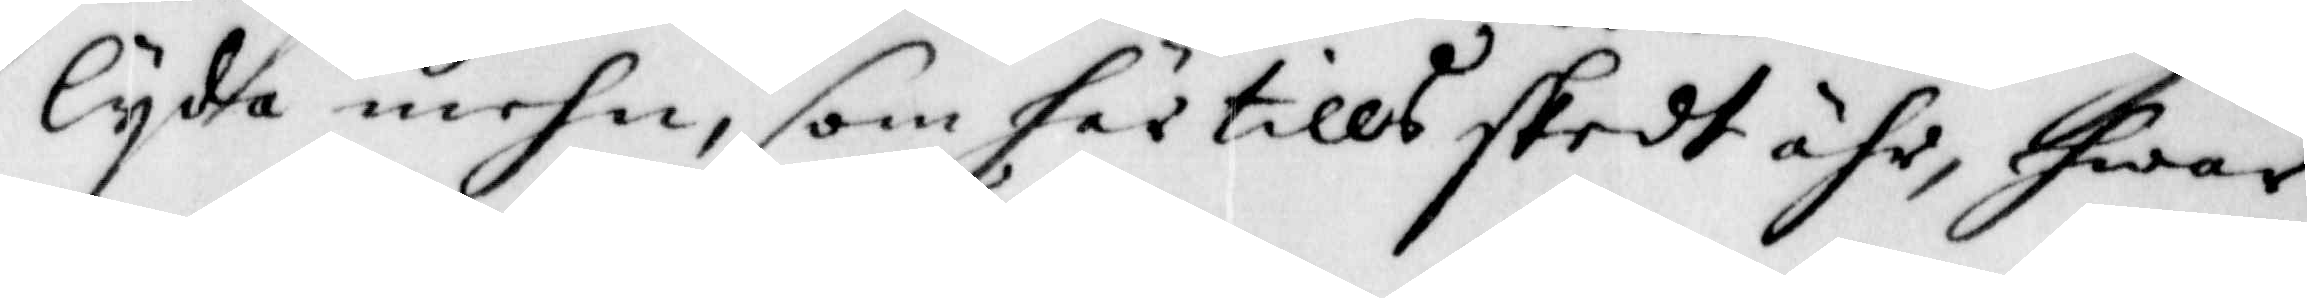lijda mehn, som här tills skedt ähr, hwar
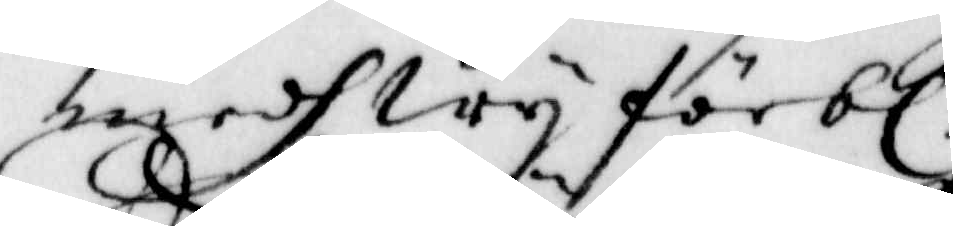medh Wij förb:r
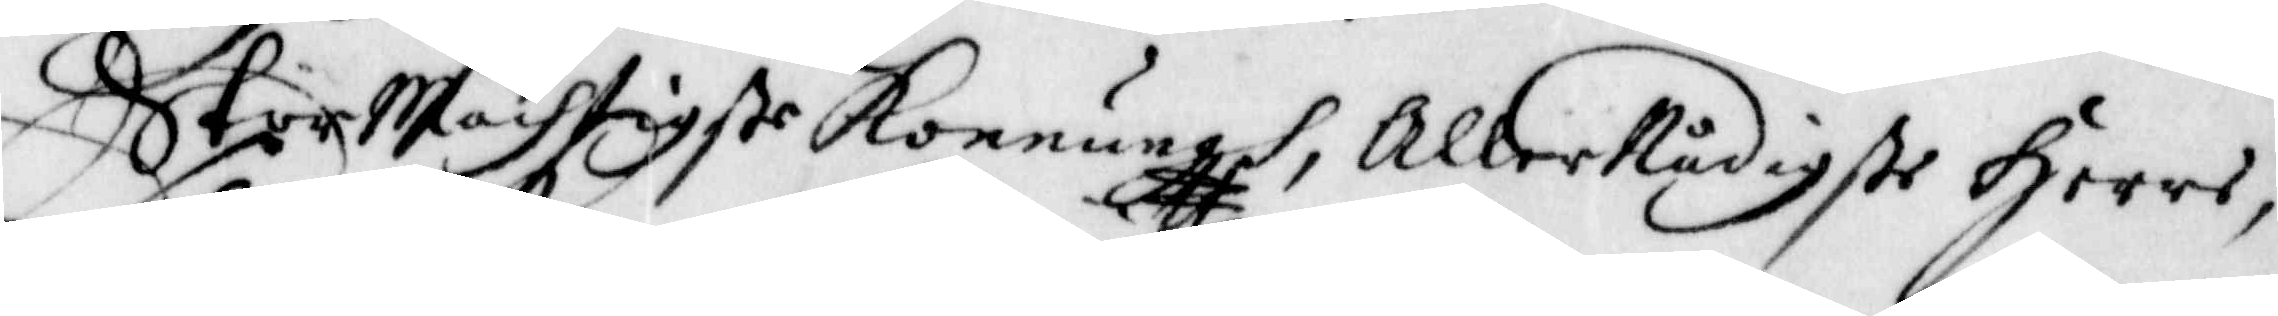Stor Mächtigste Konnungh, Aller Nådigste Herre,
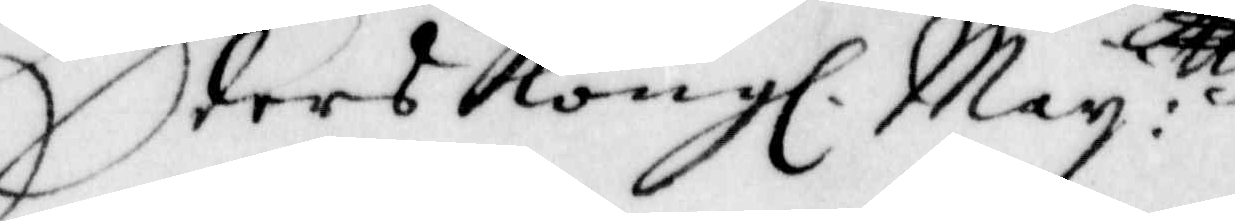Eders Kong. Maij:ttz
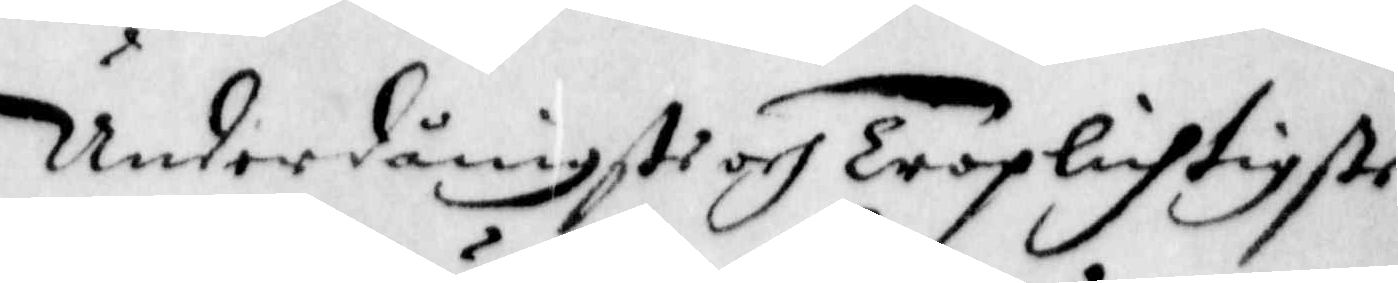Underdånigste och Troplichtigste
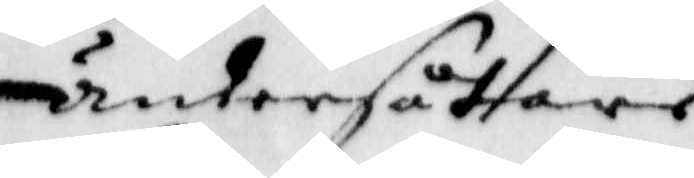undersåtare
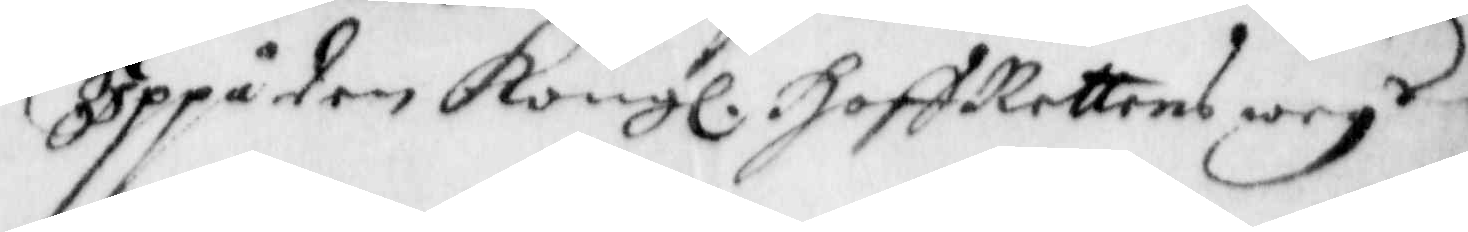Uppå den Kong. HoffRettens weg.r
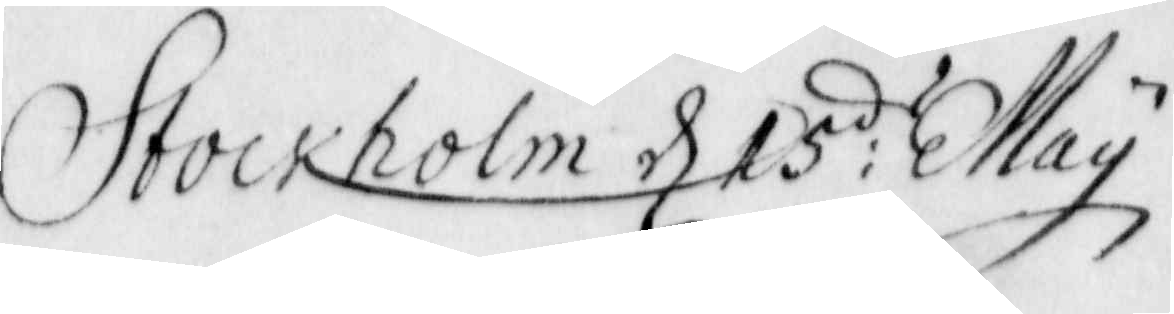Stockholm d. 15: May
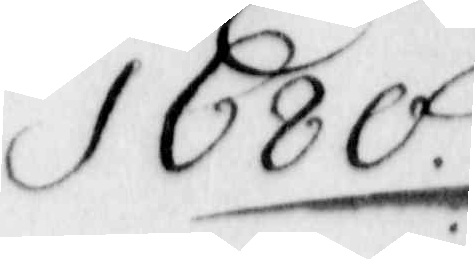1680.
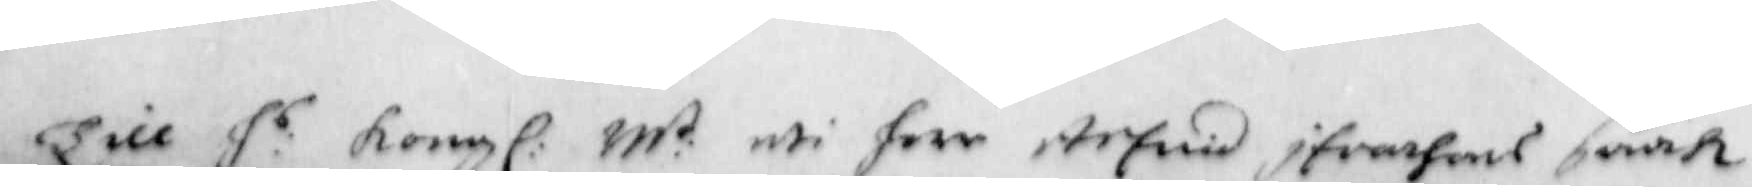Till h:s Kong: M:t uti herr Arfuid Ifvarsons saak
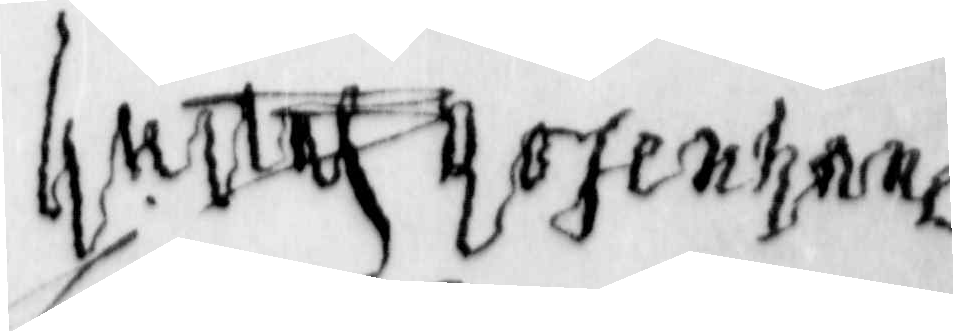Gustaf Rosenhane
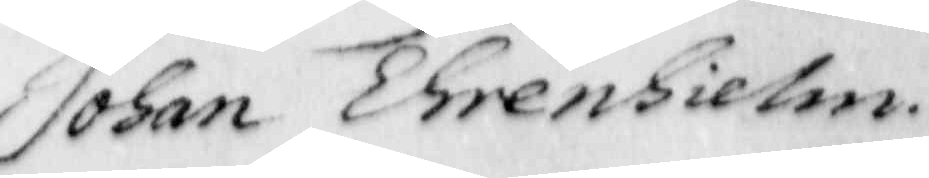Johan Ehrenhielm.
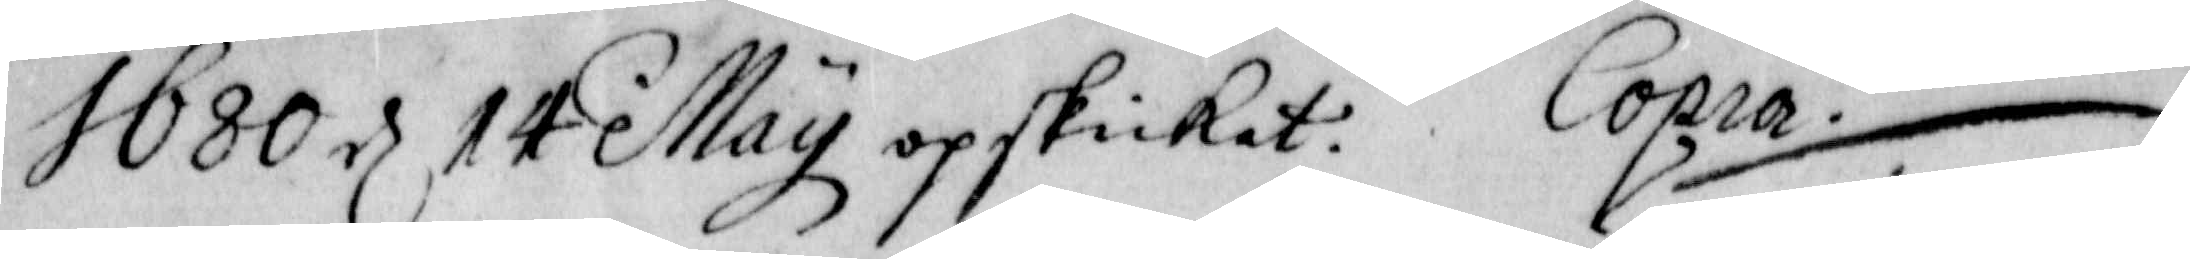1680 d. 14 May opskickat. Copia ./.
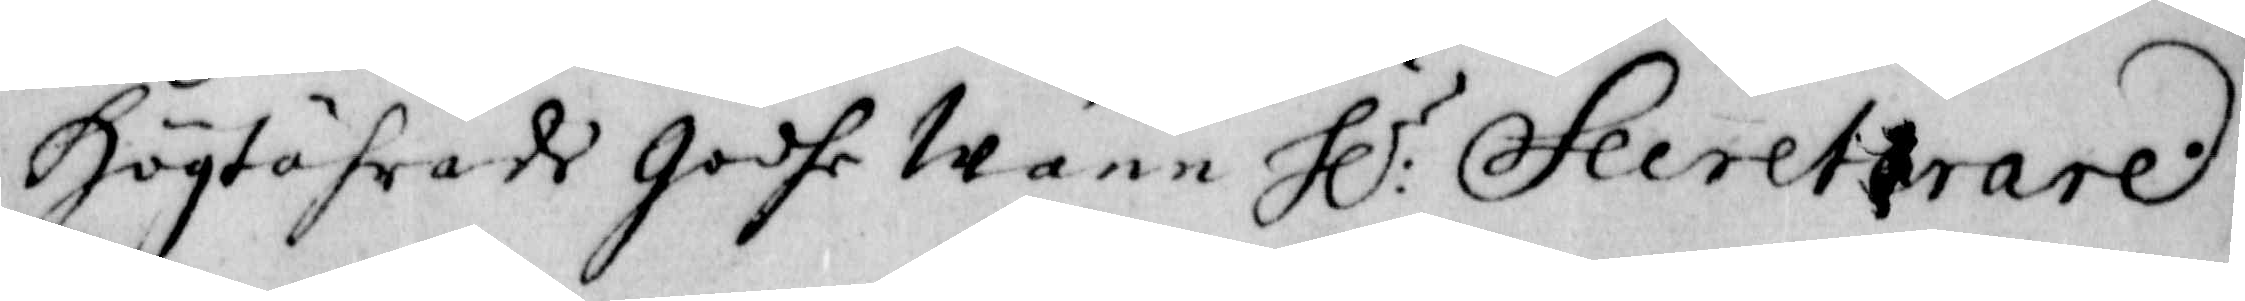Högtährade Godhe Wänn h:r Secreterare.
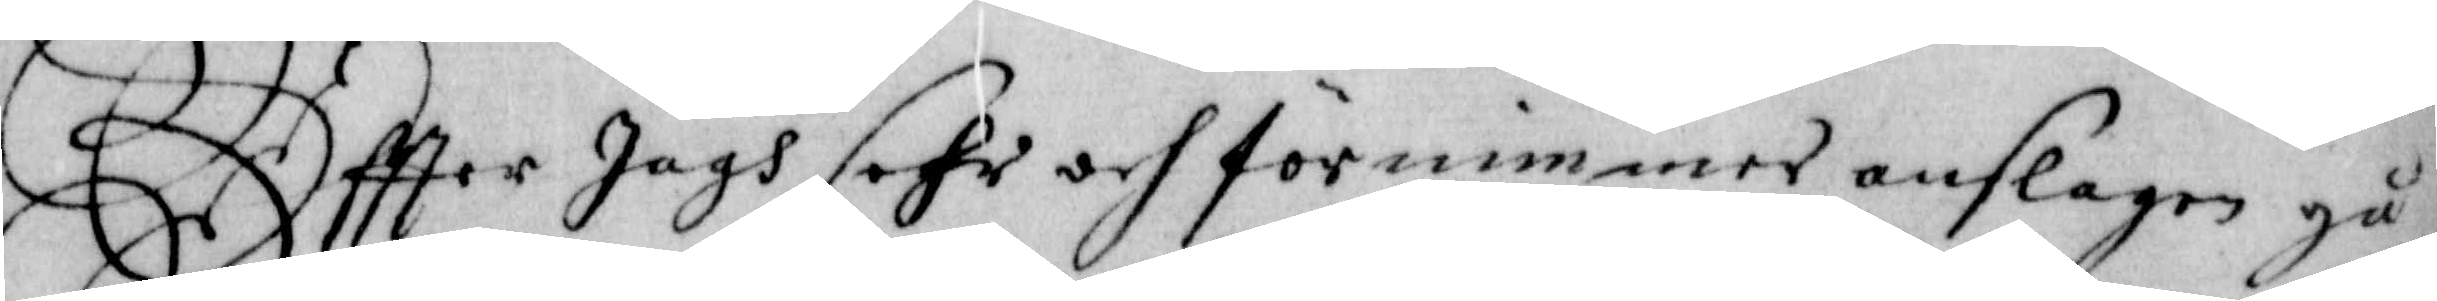Effter Jagh sehr och förnimmer anslagen gå
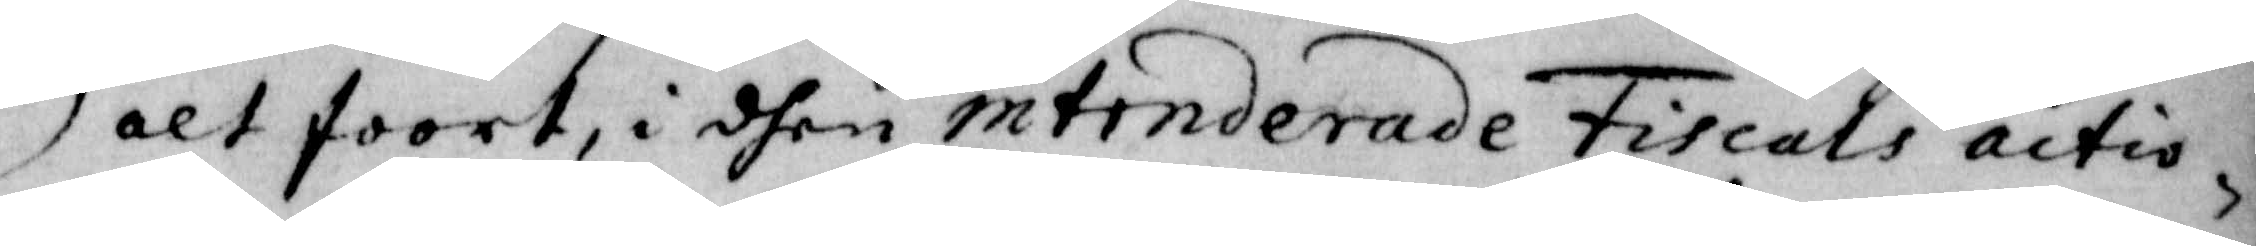alt foort, i dhen intinderade Fiscals actio¬
